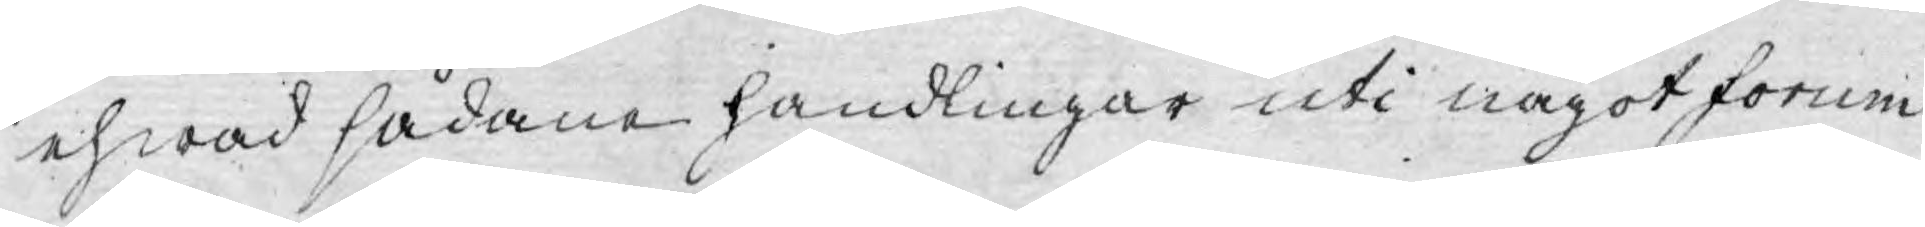ehwad sådane handlingar uti något forum
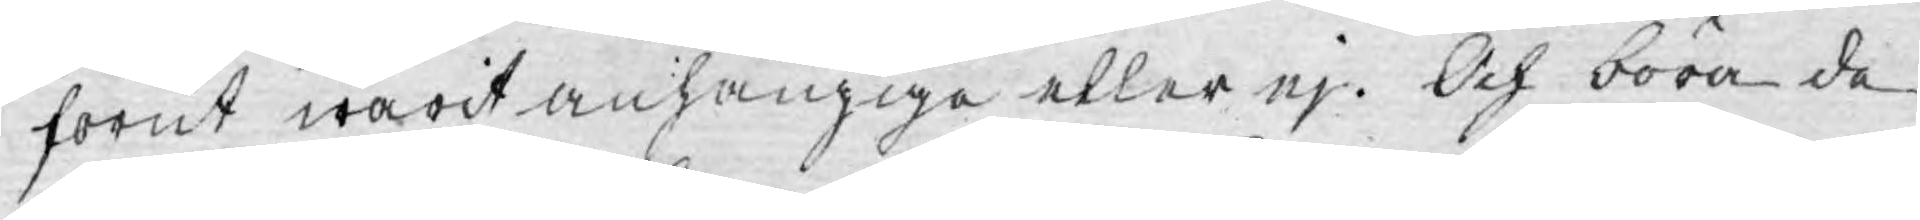förut warit anhängiga eller ej. Och böra de
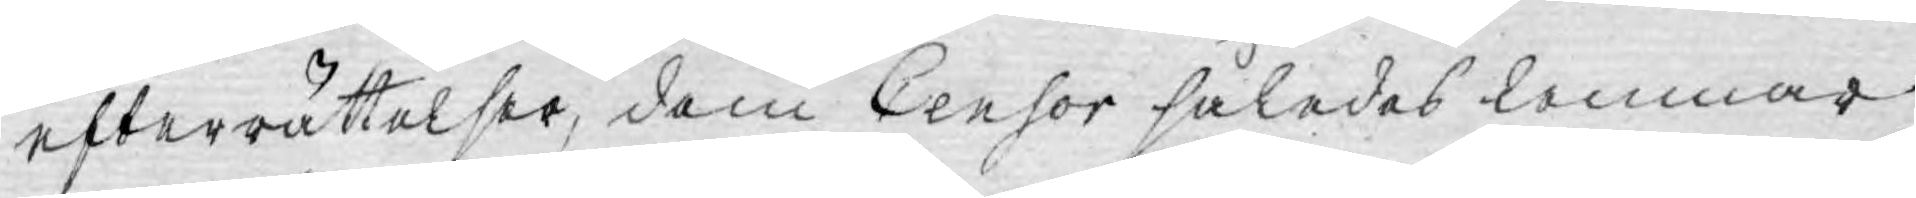efterrättelser, dem Censor således lemnar
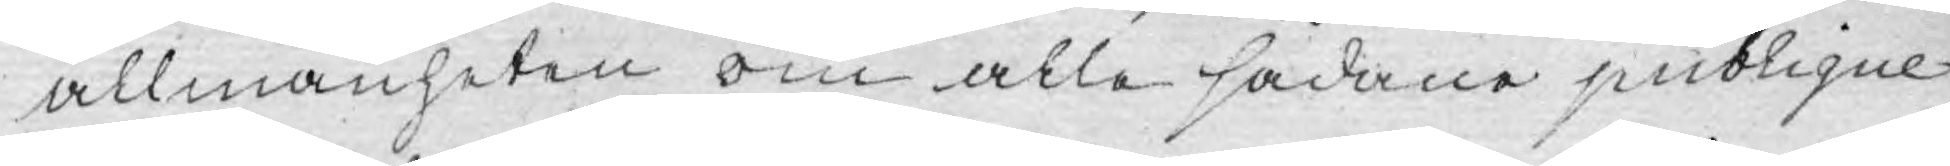allmänheten om alle sådane publique
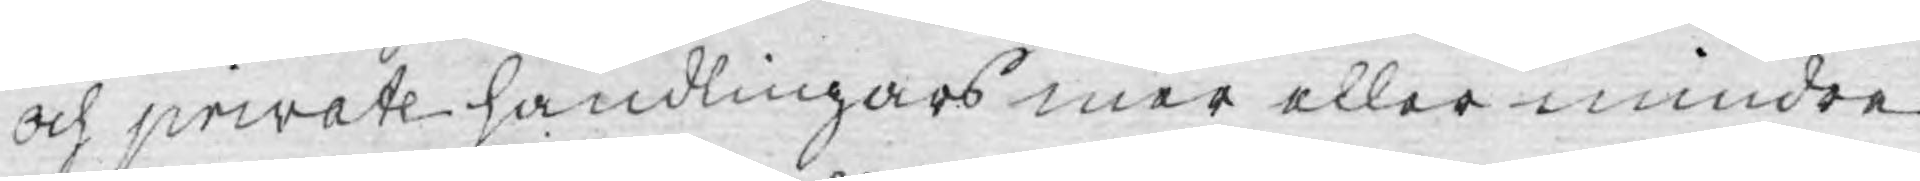och private handlingars mer eller mindre
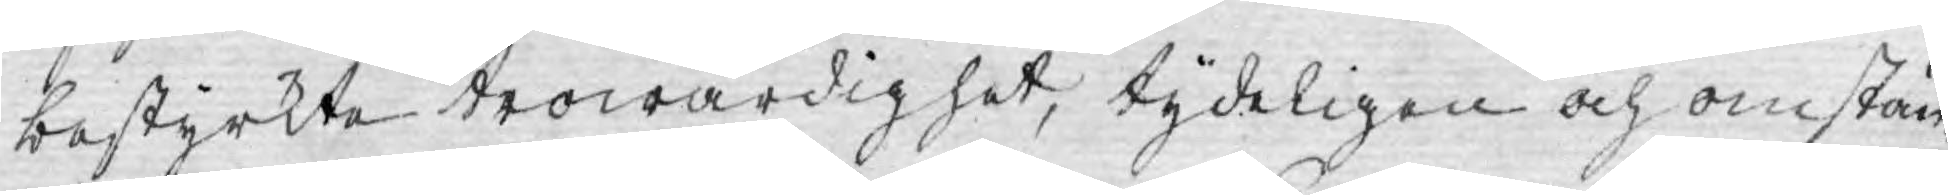bestyrkte trowärdighet, tydeligen och omstän¬
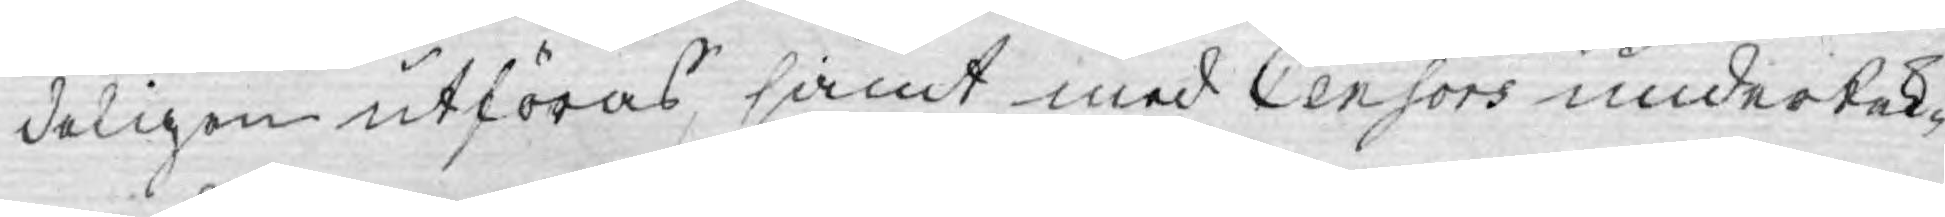deligen utföras, samt med Censors undertek¬
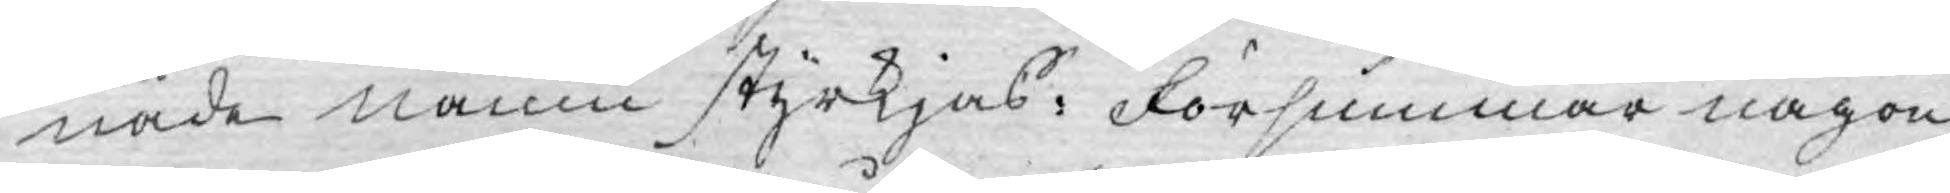nade namn styrkjas. Försummar någon
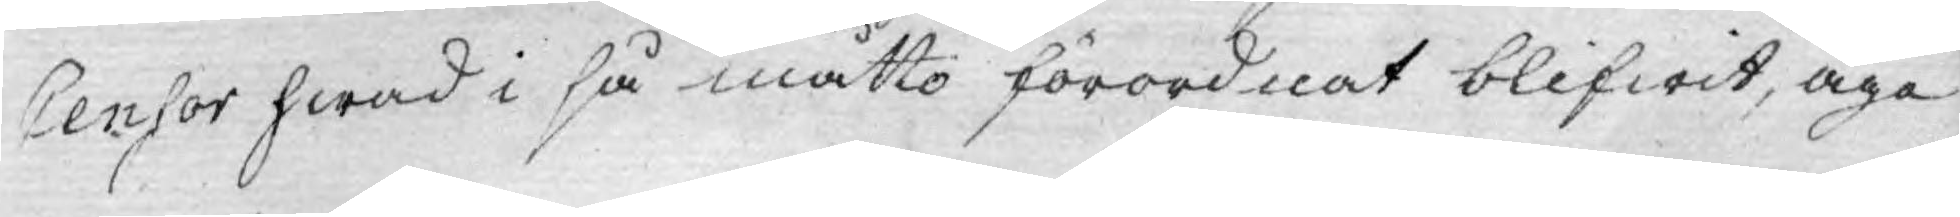Censor hwad i så måtto förordnat blifwit, äga
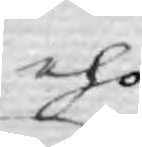eho
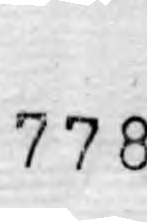778
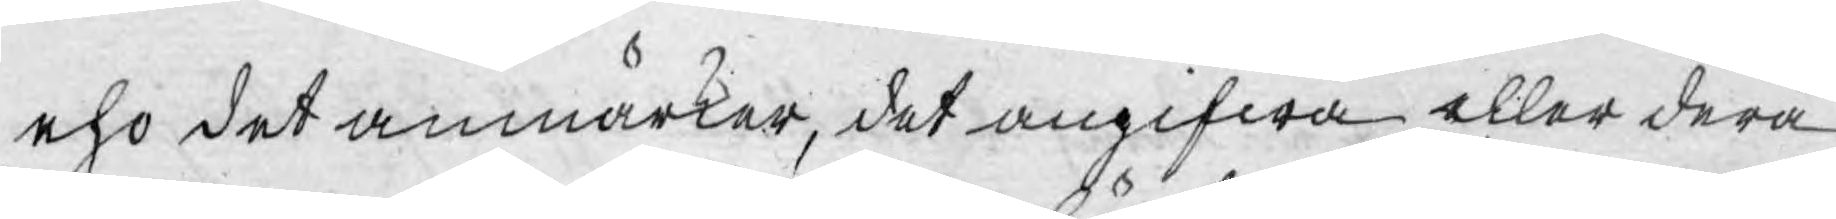eho det anmärker, det angifwa eller derå
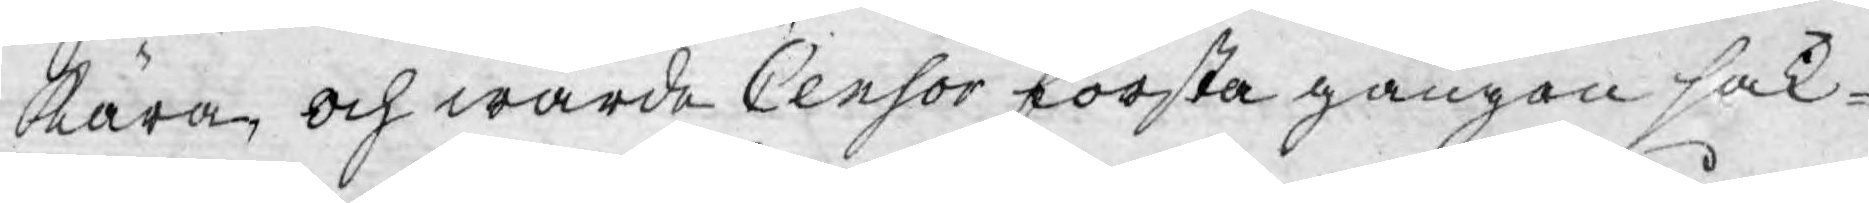kära, och warde Censor första gången sak¬
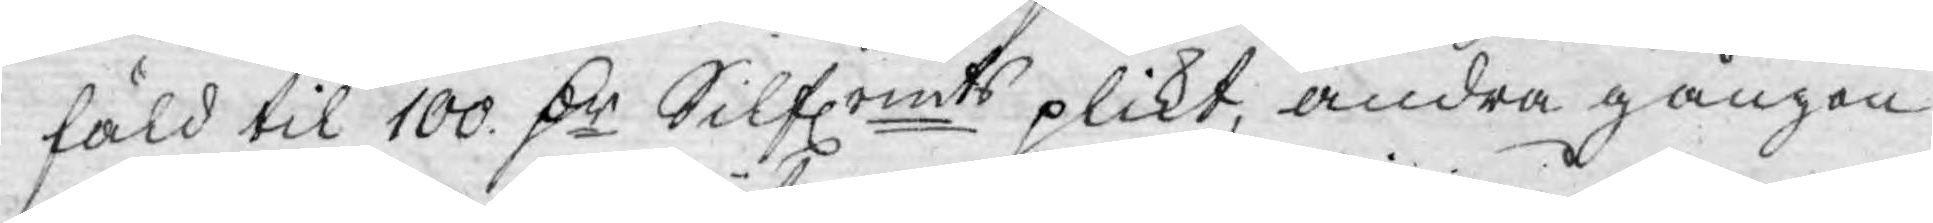fäld til 100. D:r Silfrmts plikt, andra gången
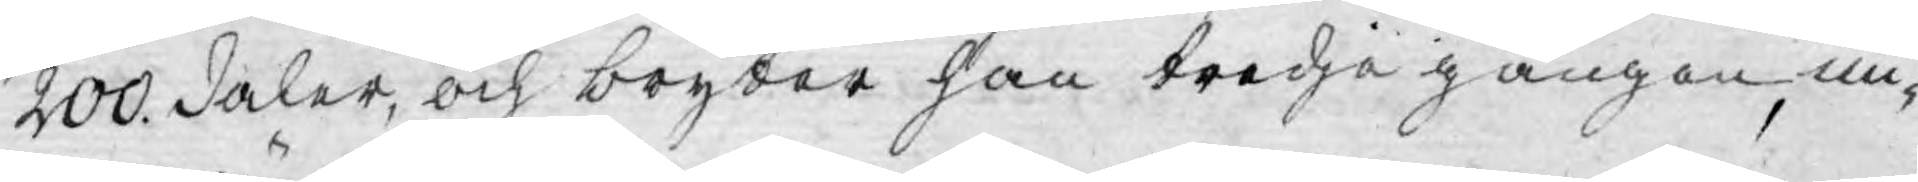200. daler, och bryter han tredje gången, mi¬
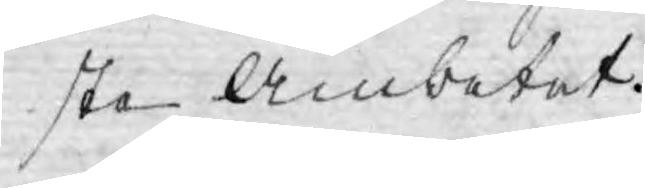sta Ämbetet.
